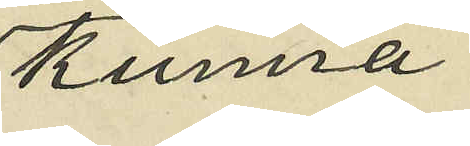kunna
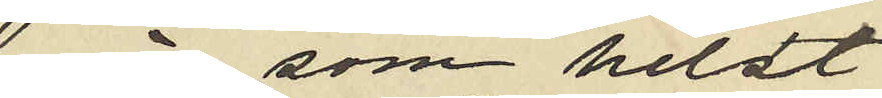när som helst
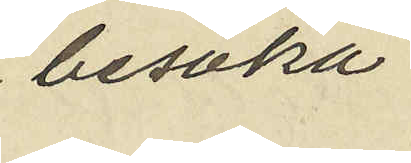besöka
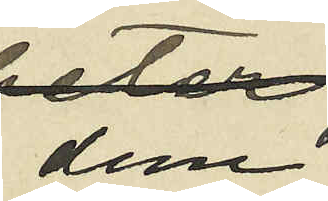dem;
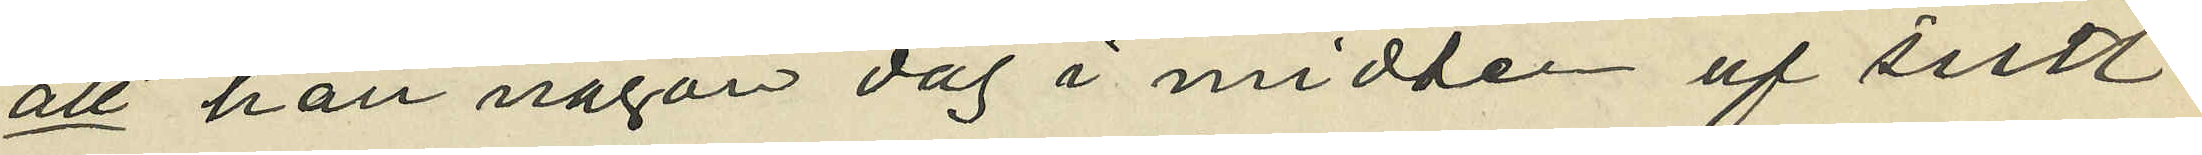att han någon dag i midten af sistl.
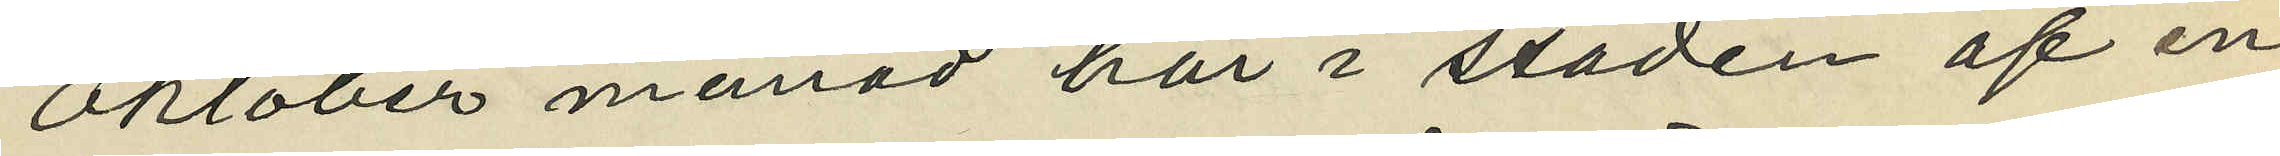Oktober månad här i staden af en
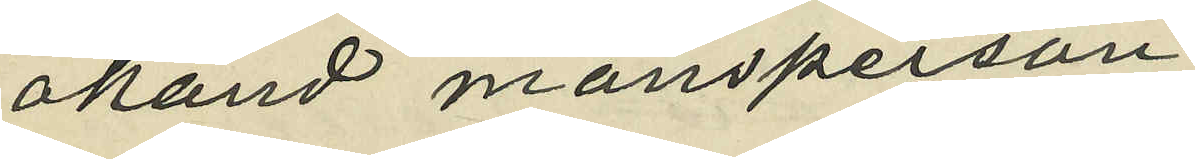okänd mansperson
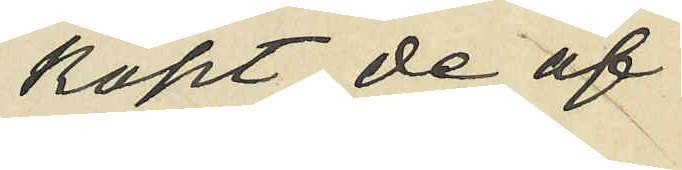köpt de af
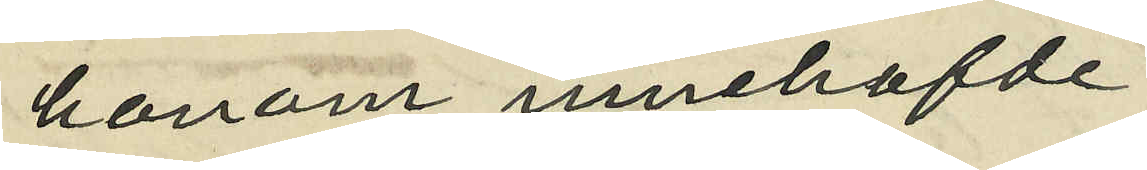honom innehafde
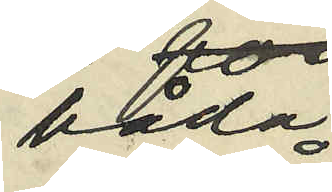båda
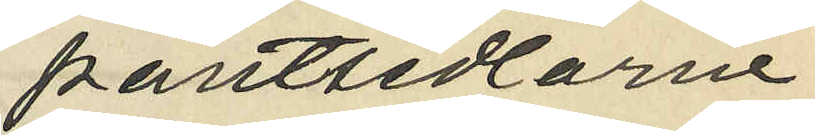pantsedlarne
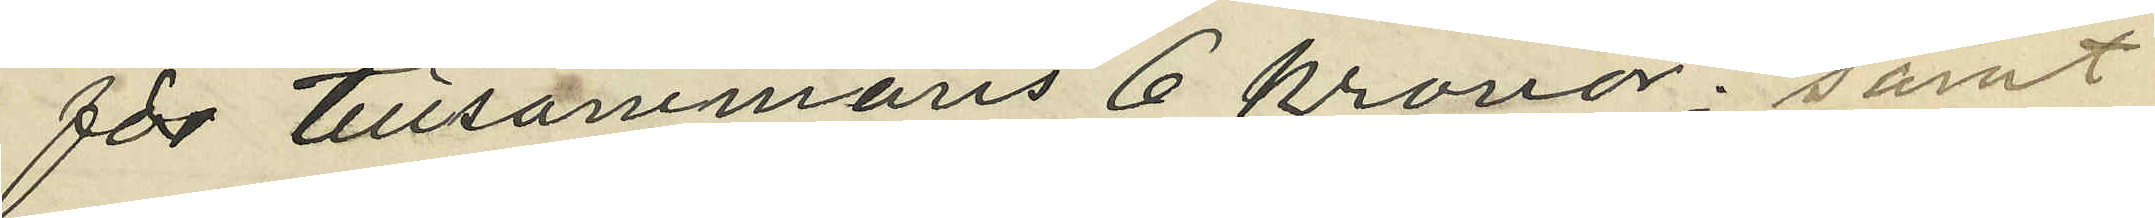för tillsammans 6 kronor; samt
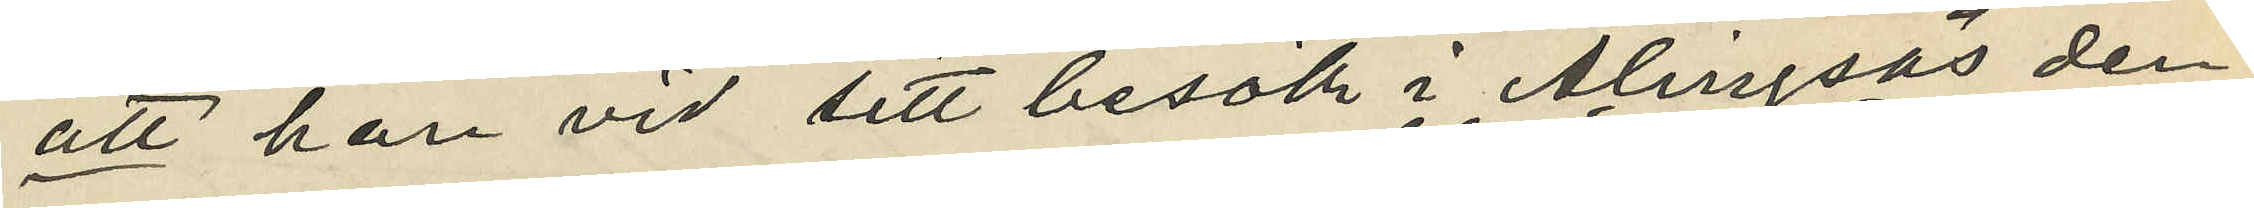att han vid sitt besök i Alingsås den
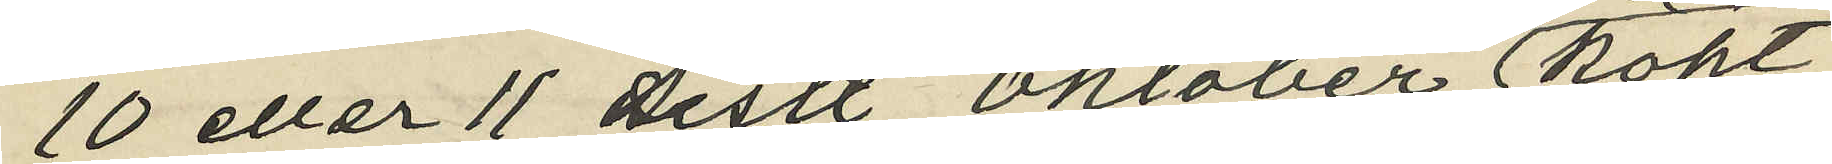10 eller 11 sistl. Oktober köpt
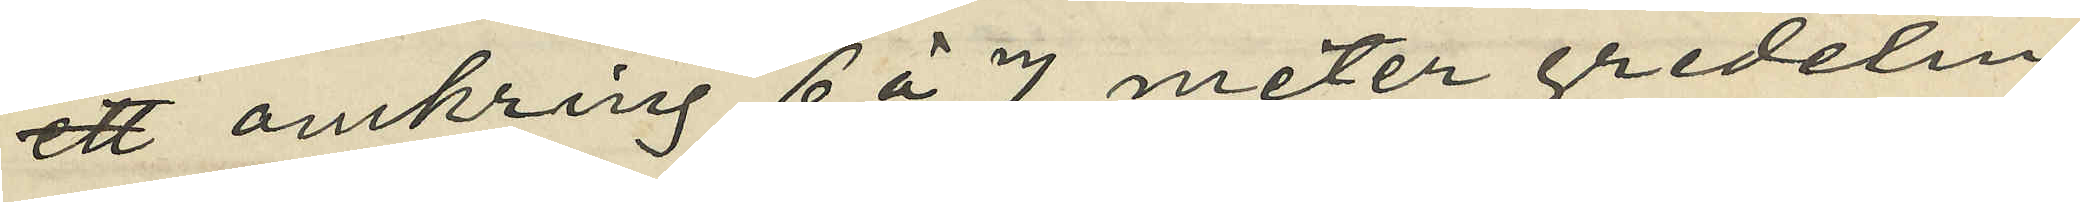ett omkring 6 à 7 meter gredelin
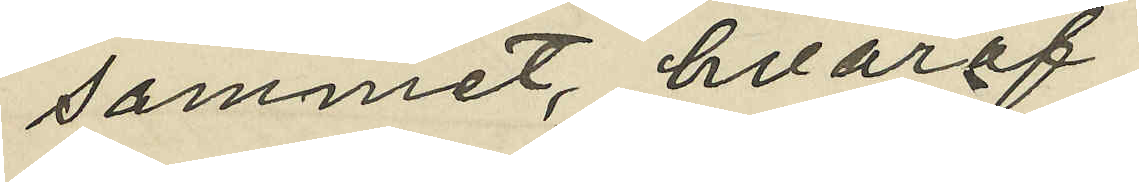sammet, hvaraf
